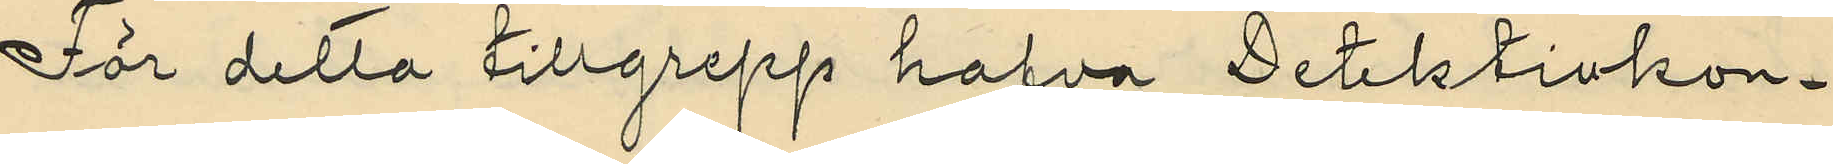För detta tillgrepp hafva Detektivkon¬
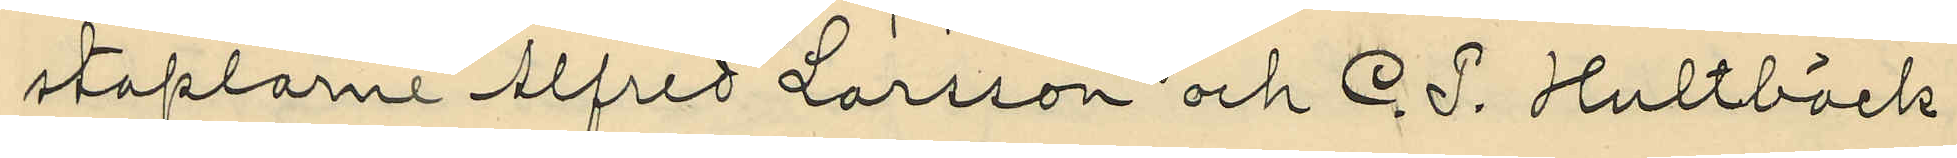staplarne Alfred Larsson och C. P. Hultbäck
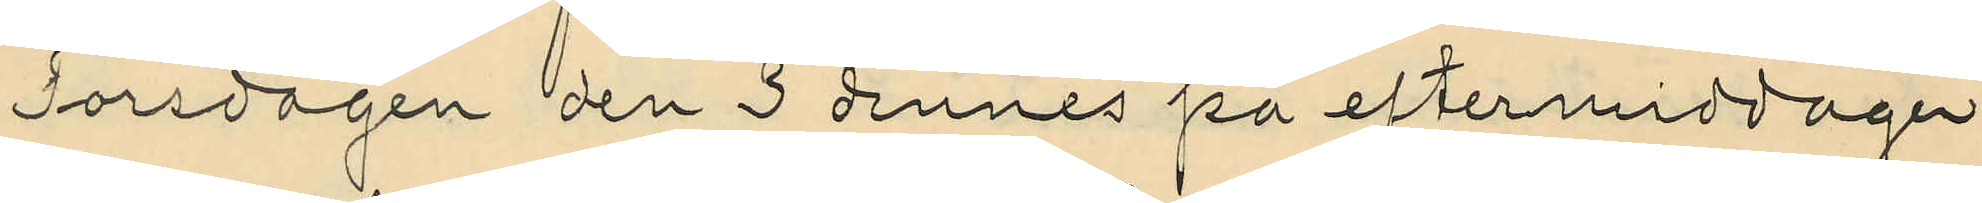Torsdagen den 3 dennes på eftermiddagen
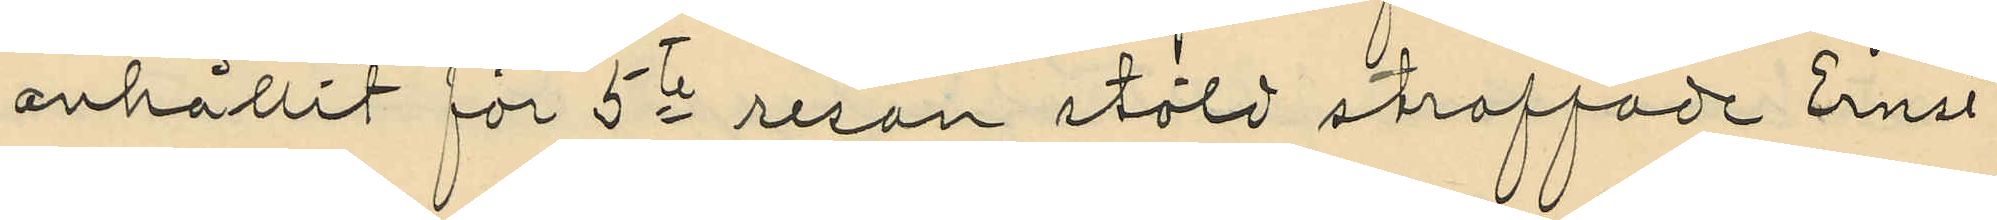anhållit för 5te resan stöld straffade Ernst
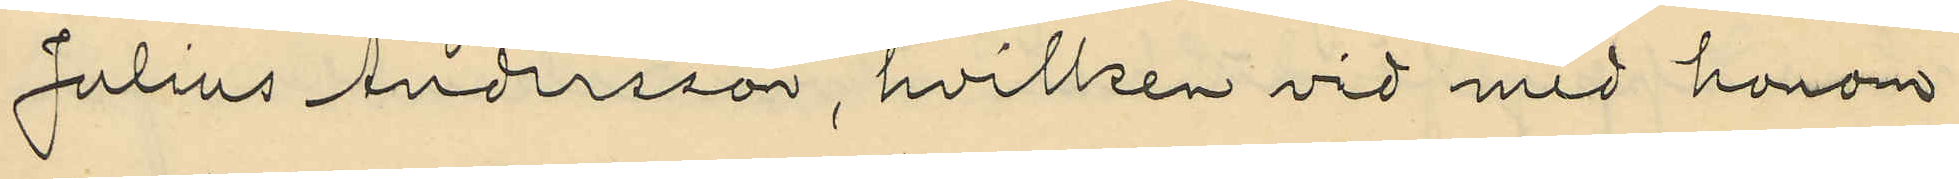Julius Andersson, hvilken vid med honom
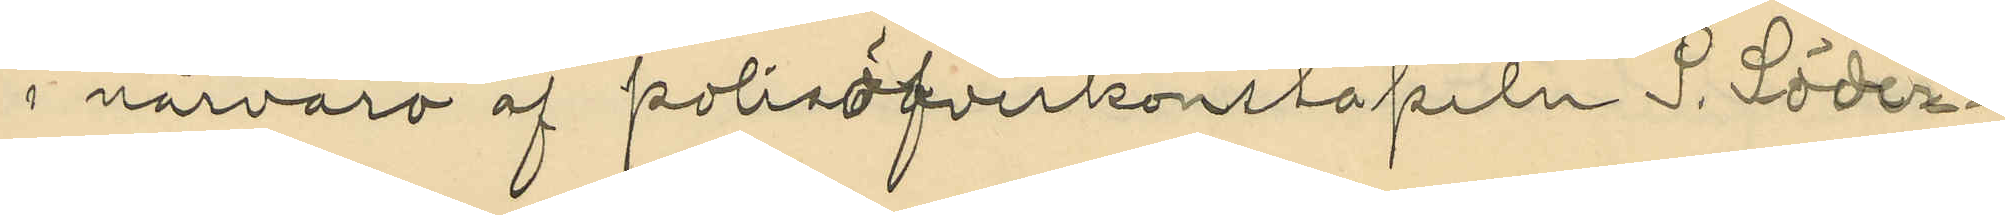i närvaro af polisöfverkonstapeln S. Söder¬
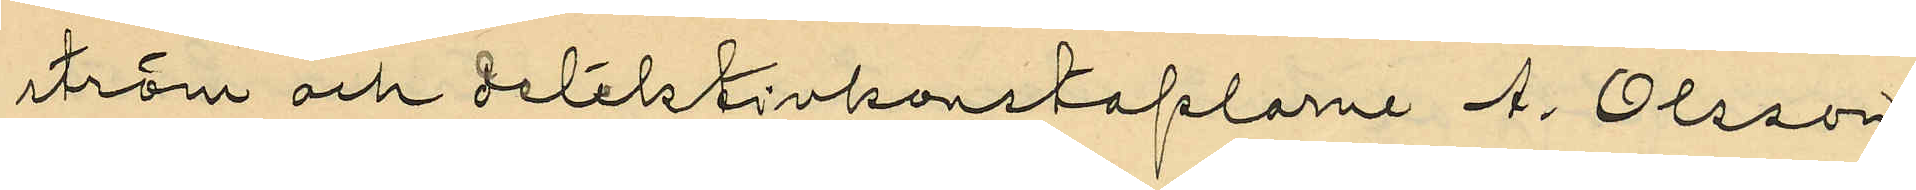ström och detektivkonstaplarne A. Olsson
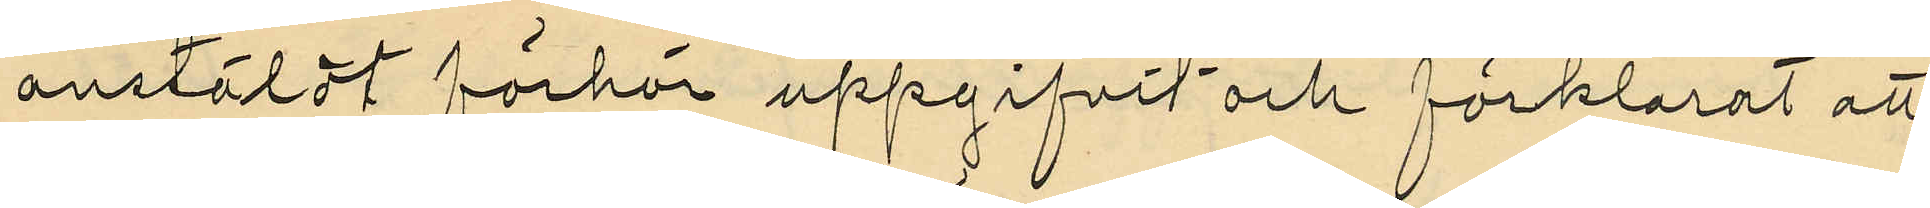anstäldt förhör uppgifvit och förklarat att
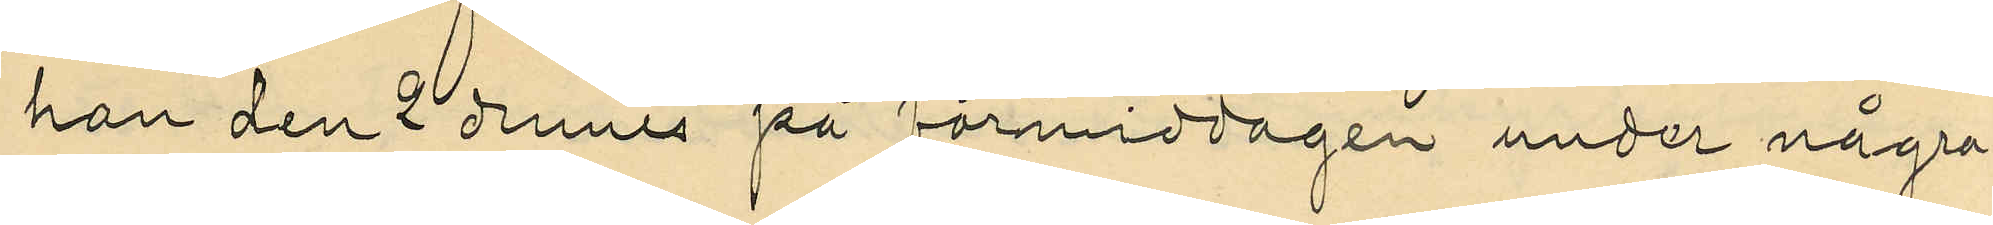han den 2 dennes på förmiddagen under några
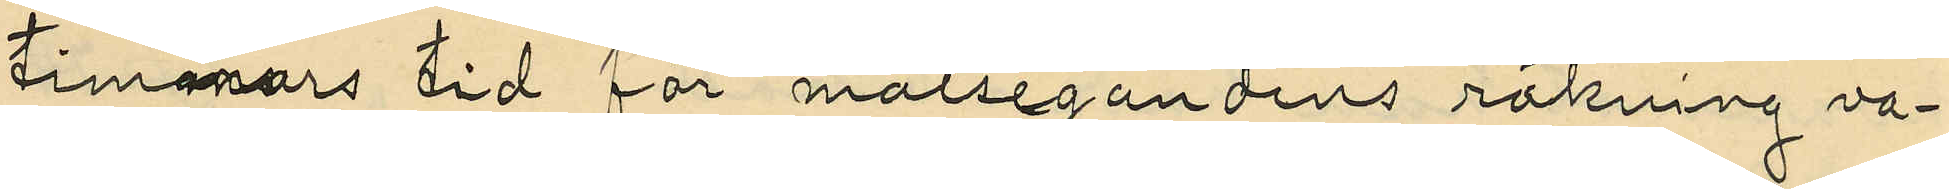timmars tid för målsegandens räkning va¬
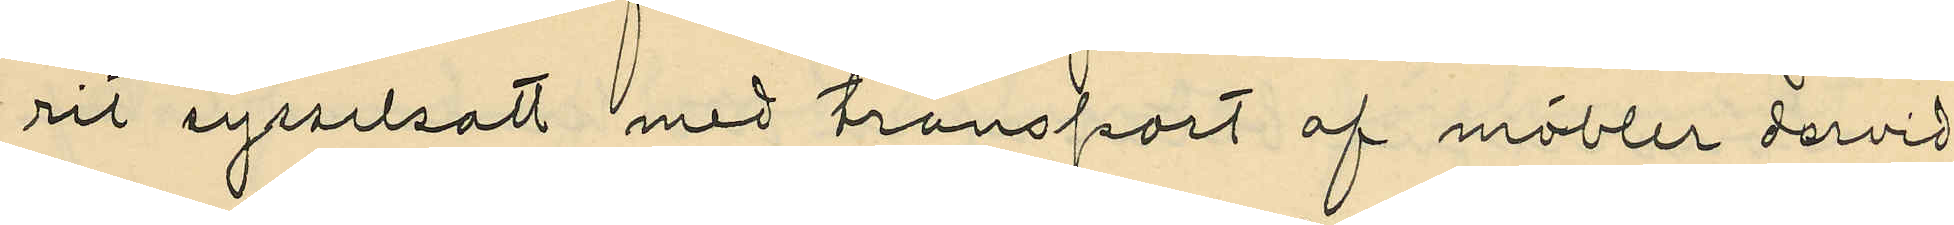rit sysselsatt med transport af möbler dervid
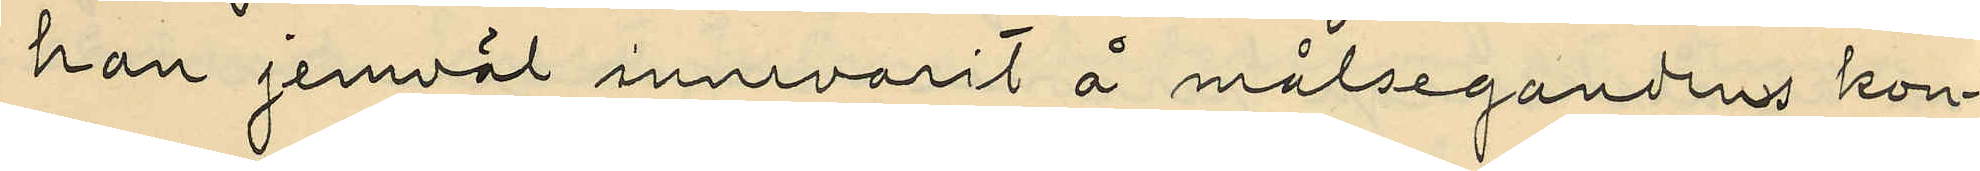han jemväl innevarit å målsegandens kon¬
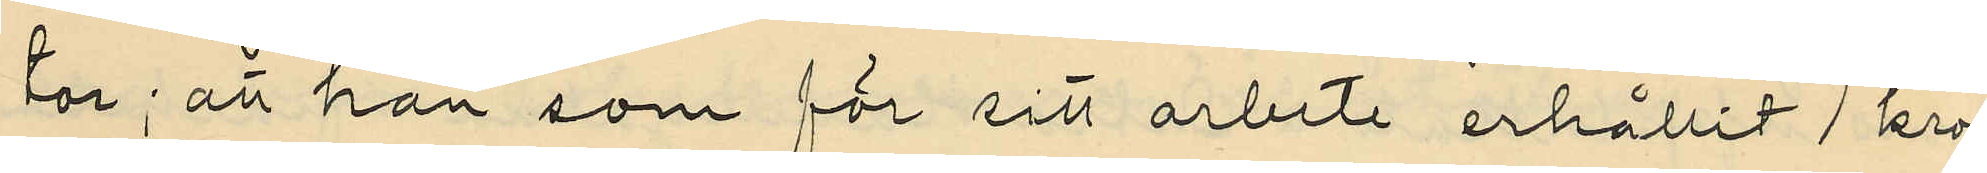tor; att han som för sitt arbete erhållit 1 kro¬
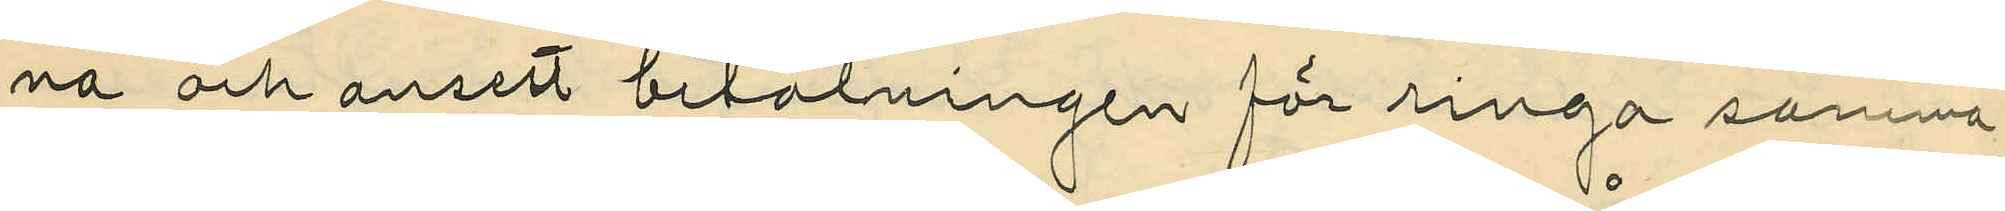na och ansett betalningen för ringa samma
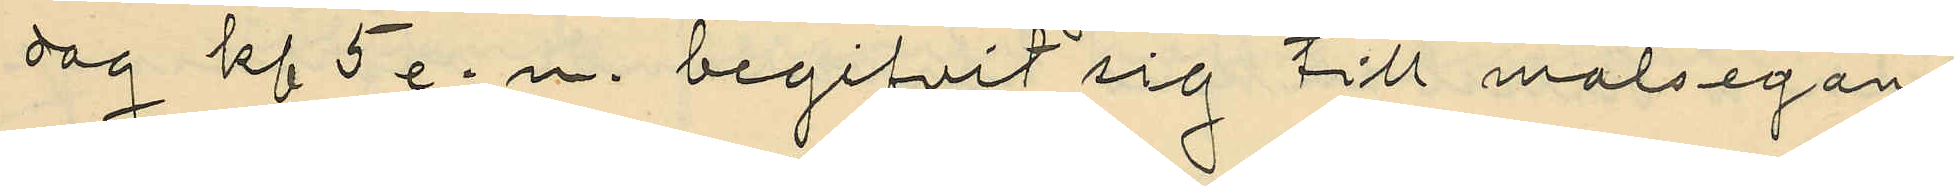dag kl 5 e. m. begifvit sig till målsegan¬
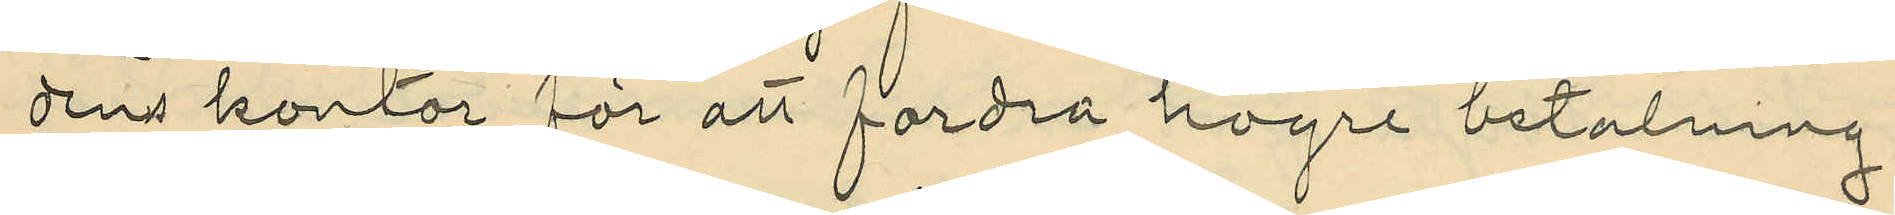dens kontor för att fordra högre betalning;
